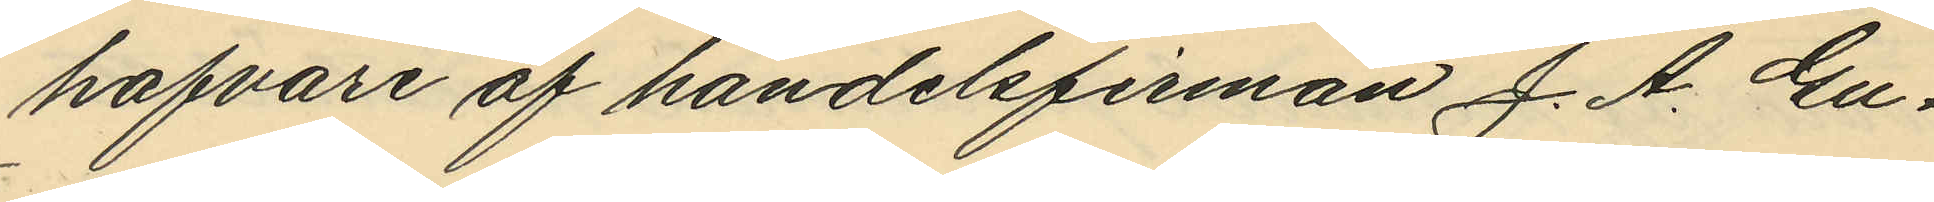hafvare af handelsfirman J. A. Gu¬
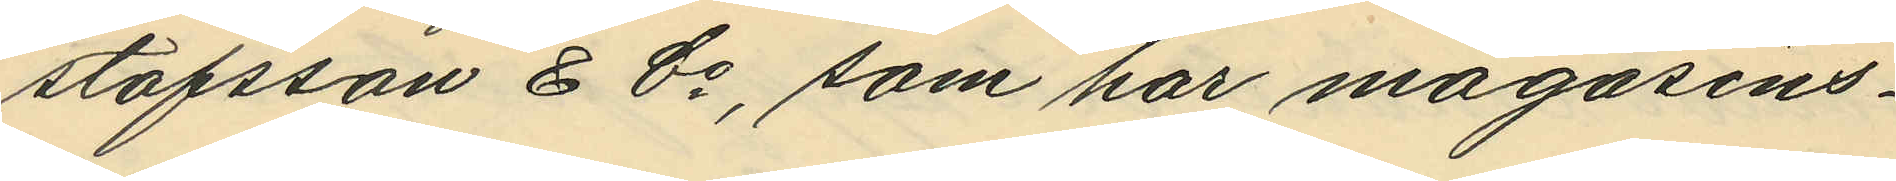stafsson & Co, som har magasins¬
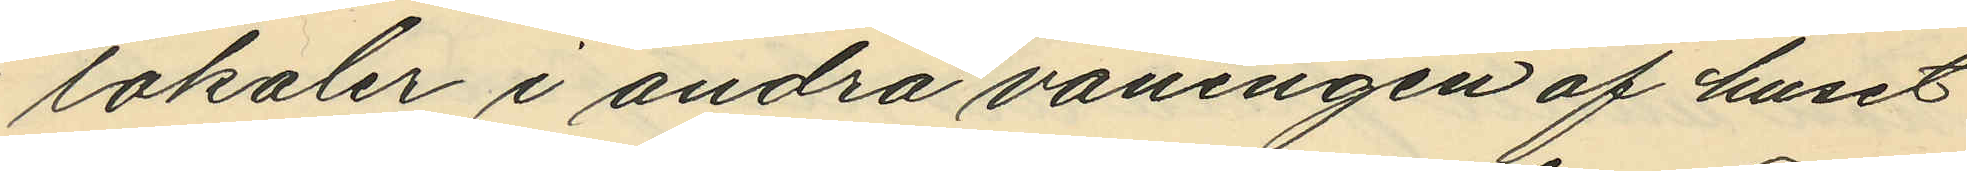lokaler i andra våningen af huset
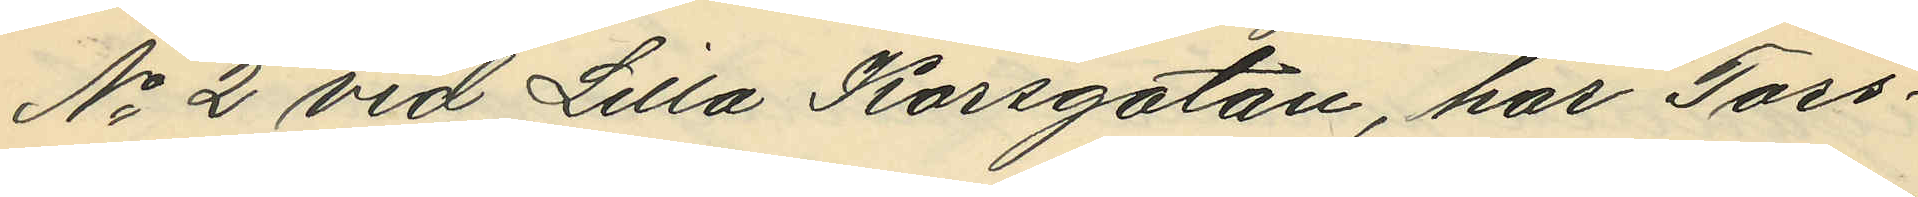No 2 vid Lilla Korsgatan, har Tors¬
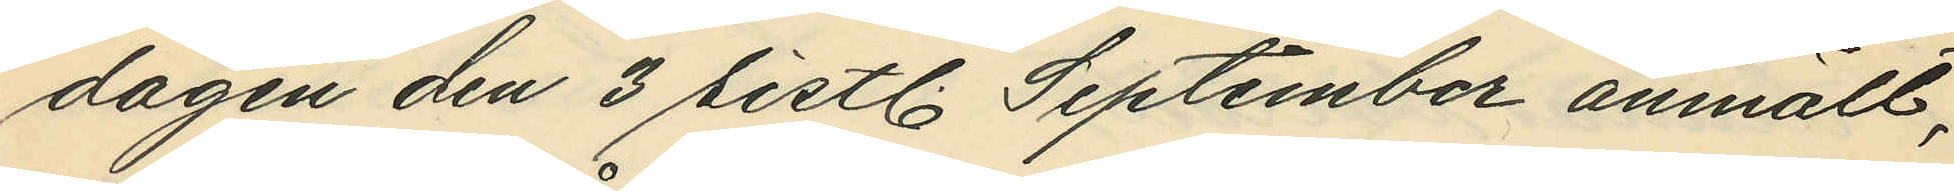dagen den 3 sistl. September anmält,
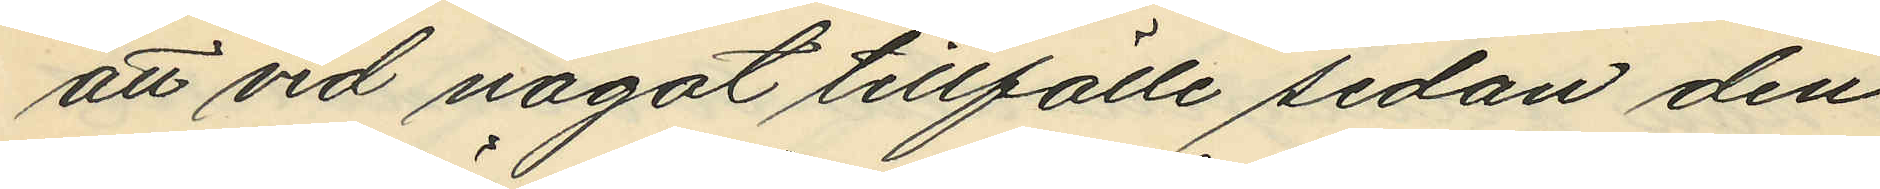att vid något tillfälle sedan den
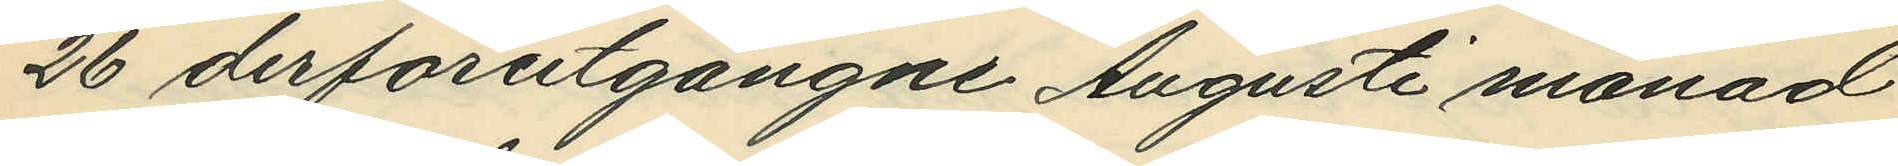26 derförutgångne Augusti månad
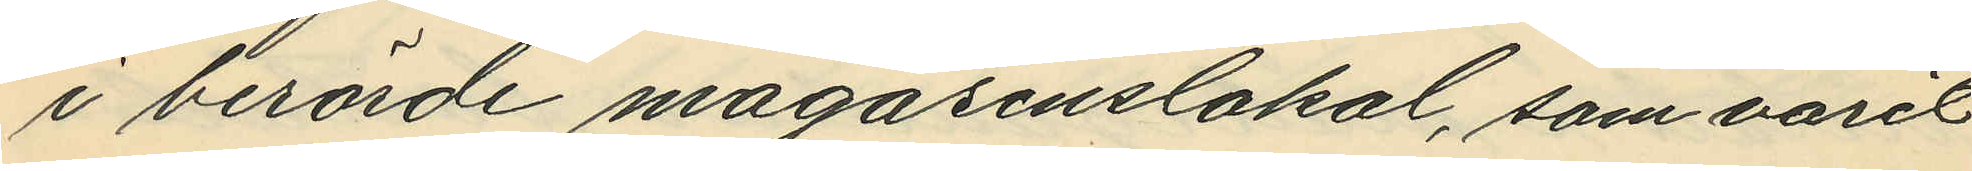i berörde magasinslokal, som varit
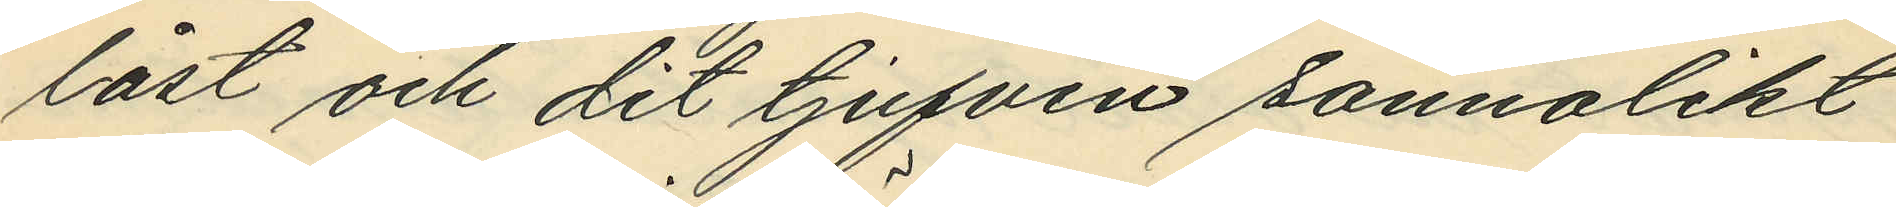låst och dit tjufven sannolikt
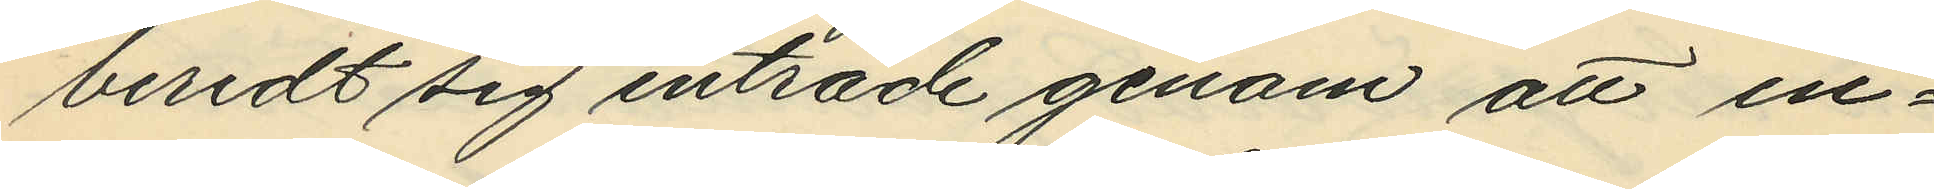beredt sig inträde genom att in¬
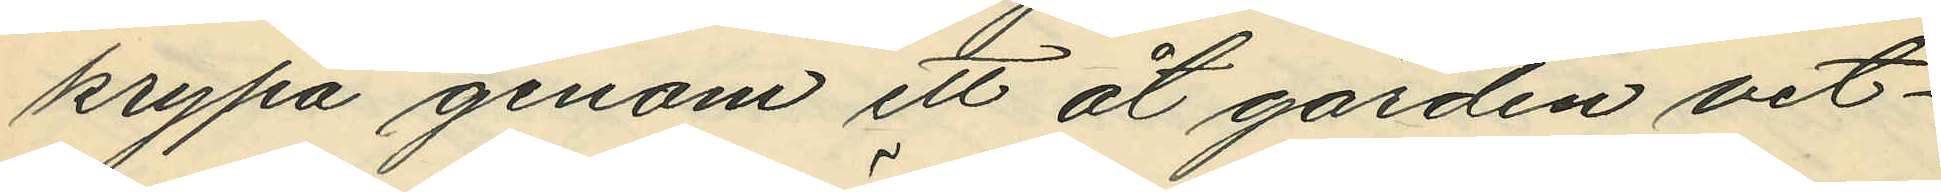krypa genom ett åt gården vet¬
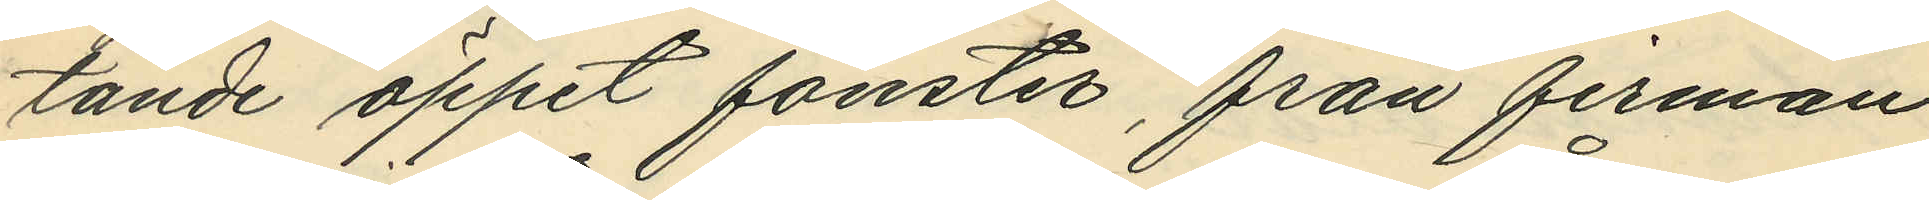tande öppet fönster, från firman
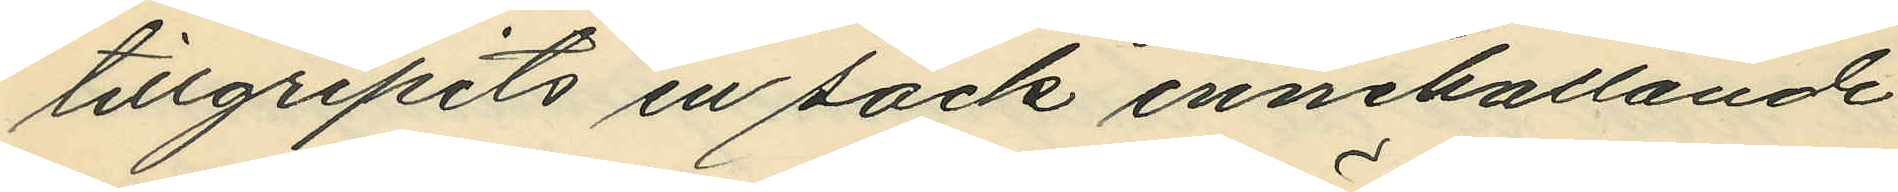tillgripits en säck innehållande
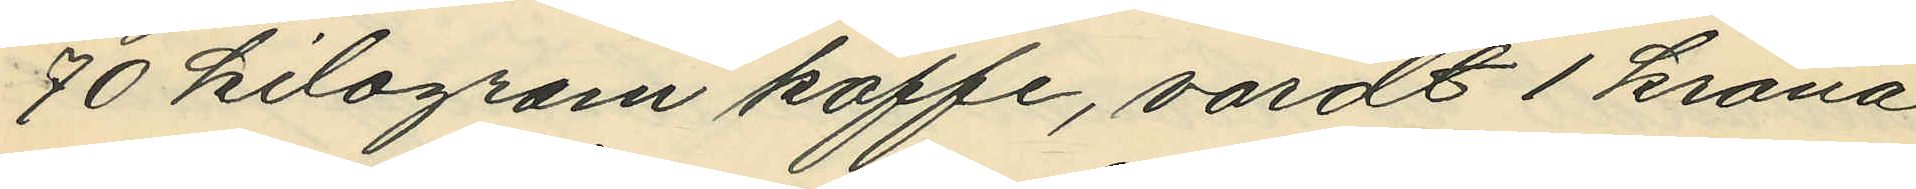70 kilogram kaffe, värdt 1 krona
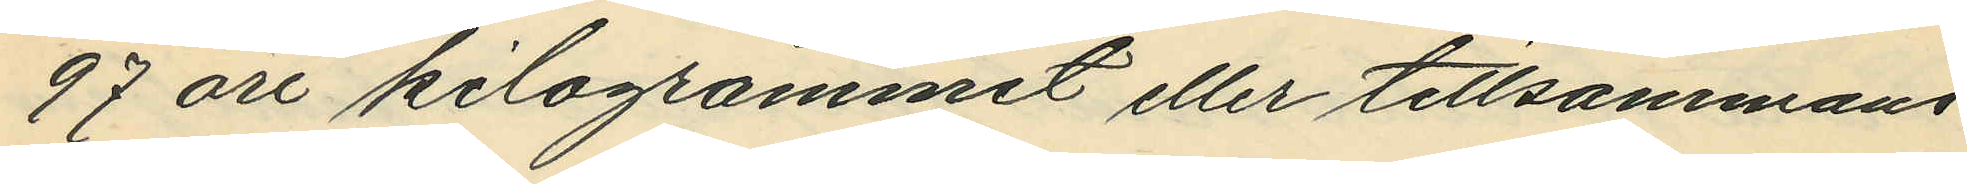97 öre kilogrammet eller tillsammans
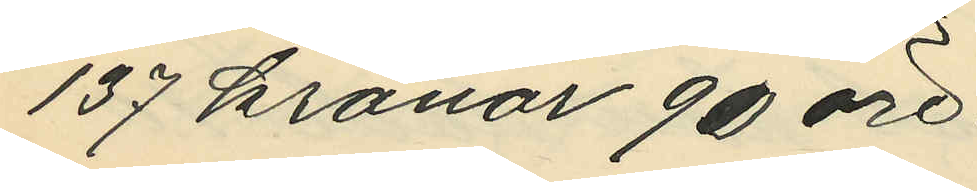137 kronor 90 öre.
